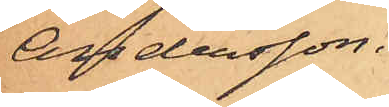Andersson.
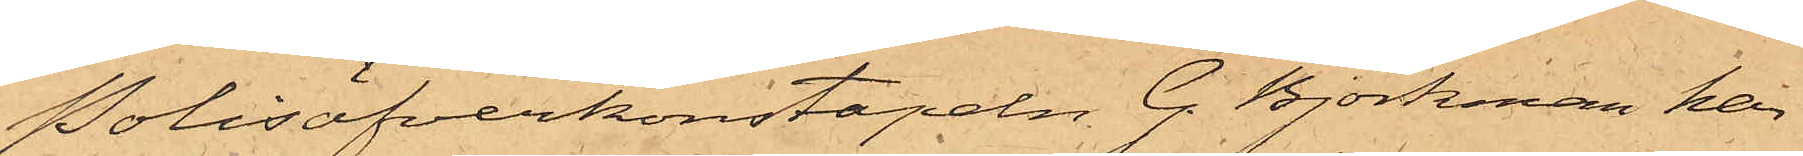Polisöfverkonstapeln G. Björkman har
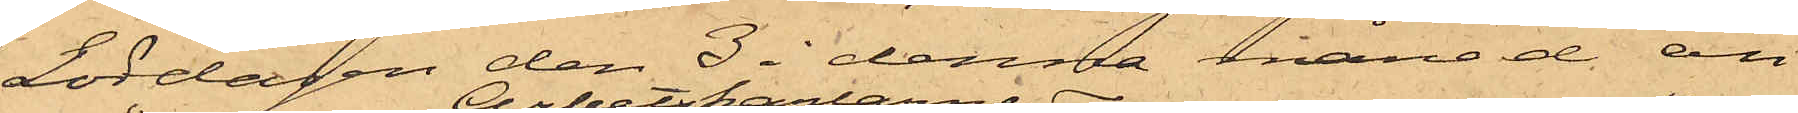Lördagen den 3 i denna månad an¬
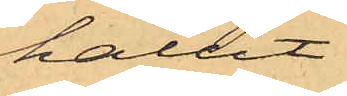hållit
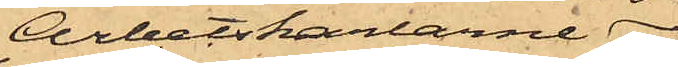Arbetskarlarne 
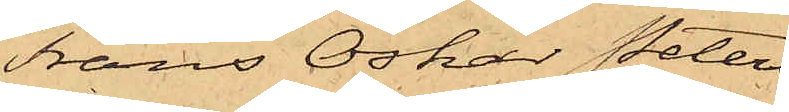Frans Oskar Peters¬
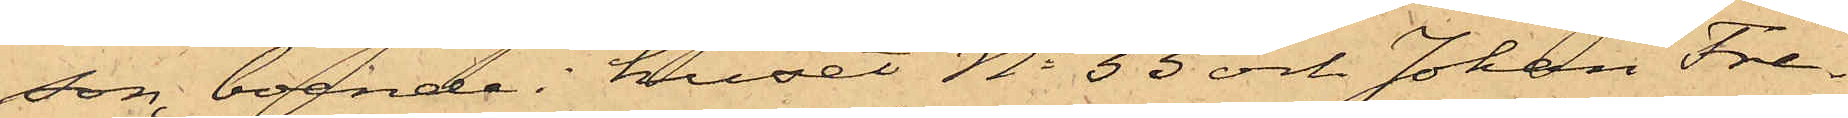son, boende i huset No 33 och Johan Fre¬
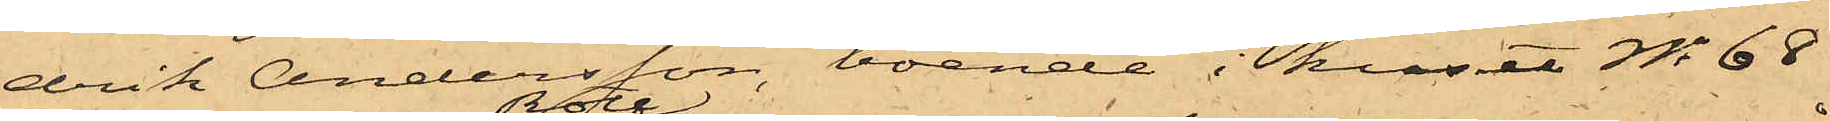drik Andersson, boende i huset No 68
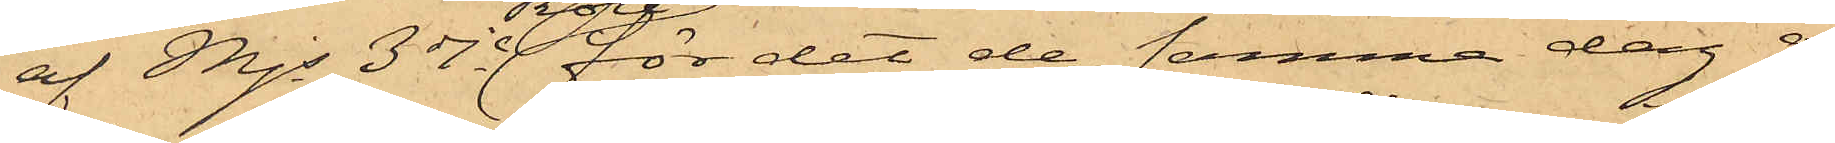af Mjs 3dje Rote för det de samma dag å
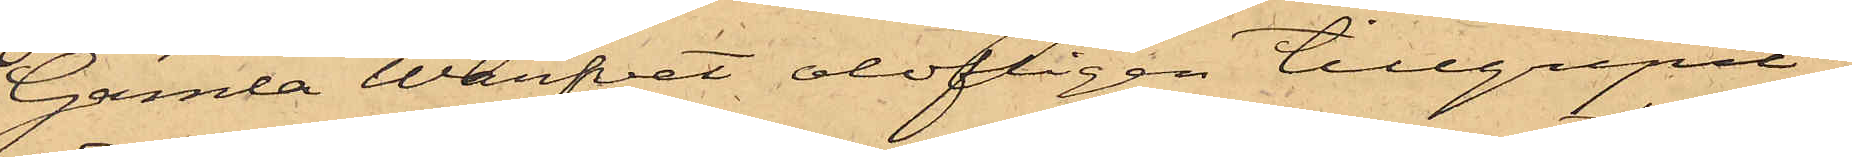Gamla Warfvet olofligen tillgripit
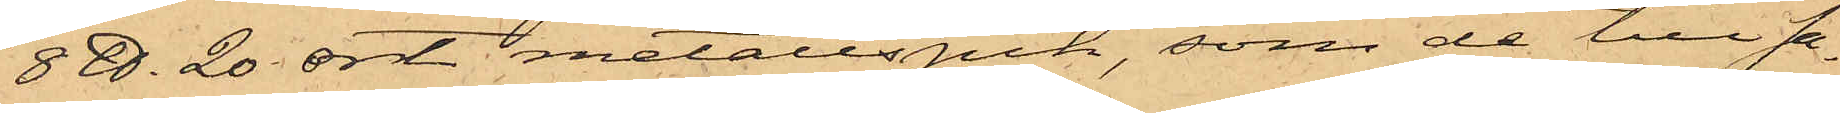8 ℔. 20 ort metallspik, som de till sa¬
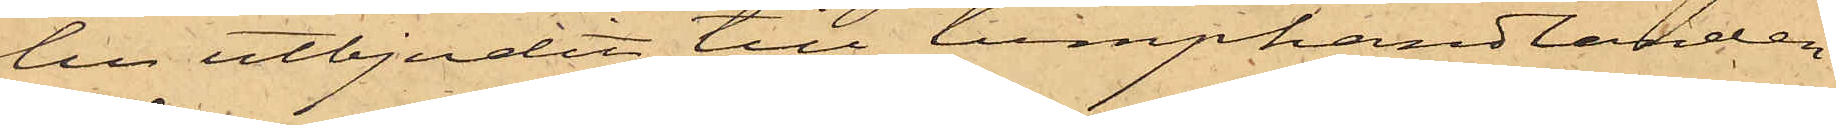lu utbjudit till lumphandlanden
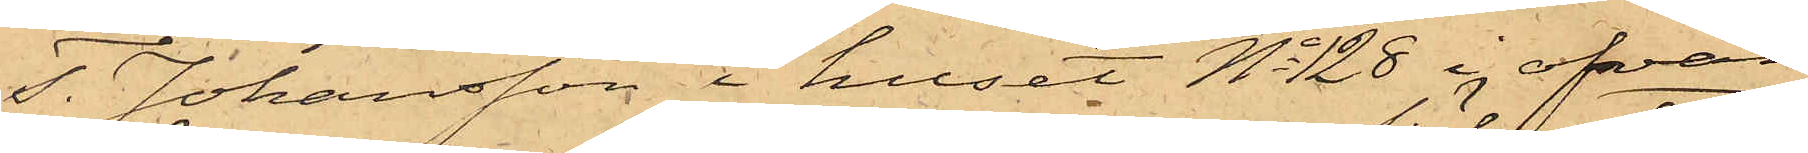T. Johansson i huset No 128 i ofvan¬
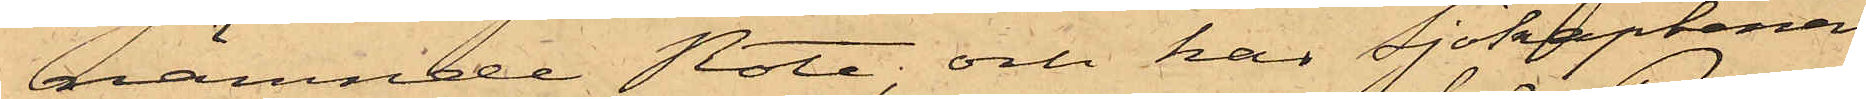nämnde Rote, och har Sjökaptenen
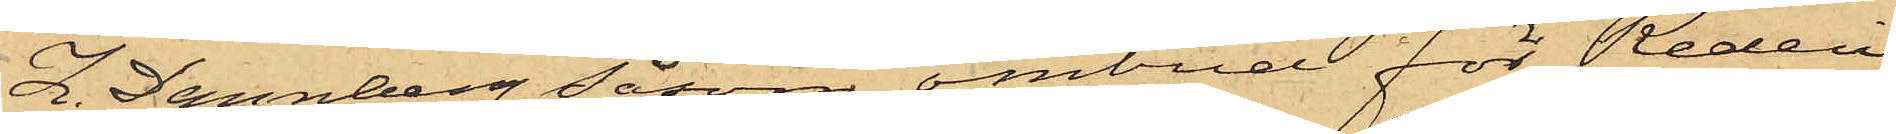Z. Dannberg Såsom ombud för Rederi¬
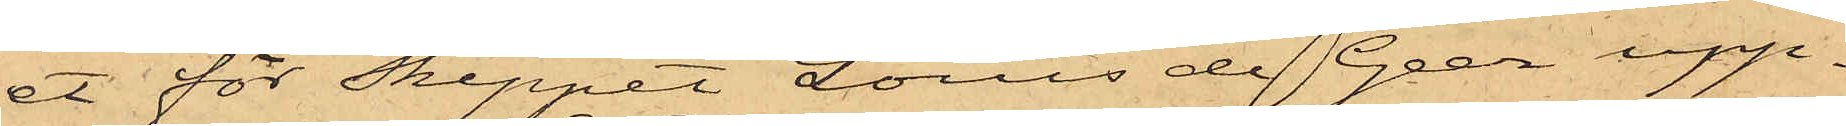et för Skeppet Louis de Geer upp¬
